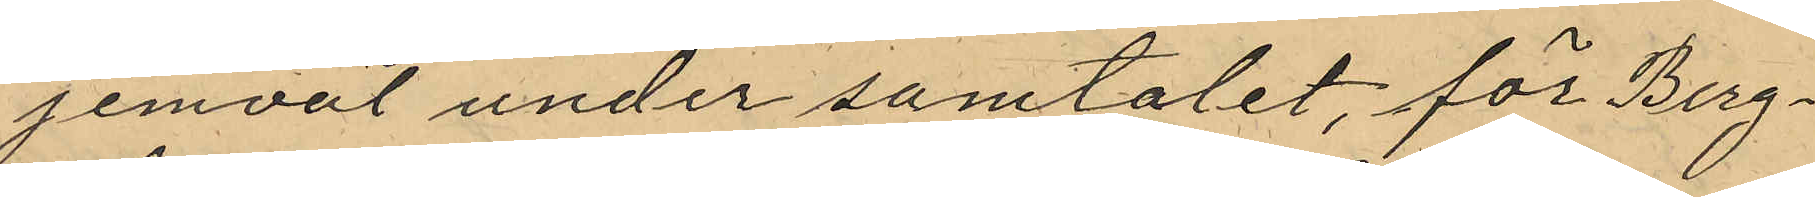jemväl under samtalet, för Berg¬
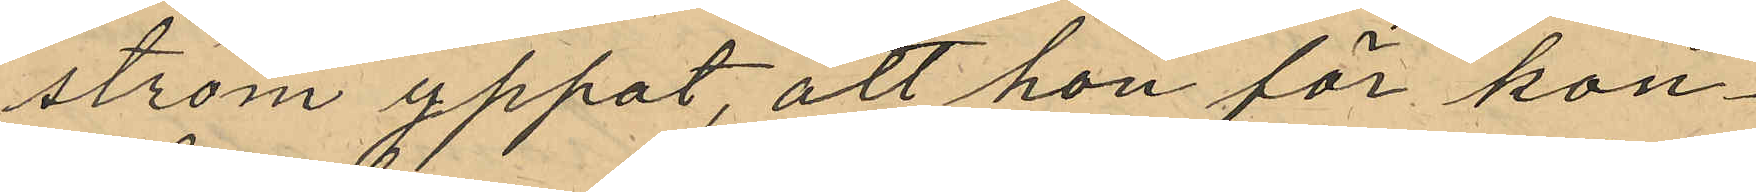ström yppat, att hon för kon¬
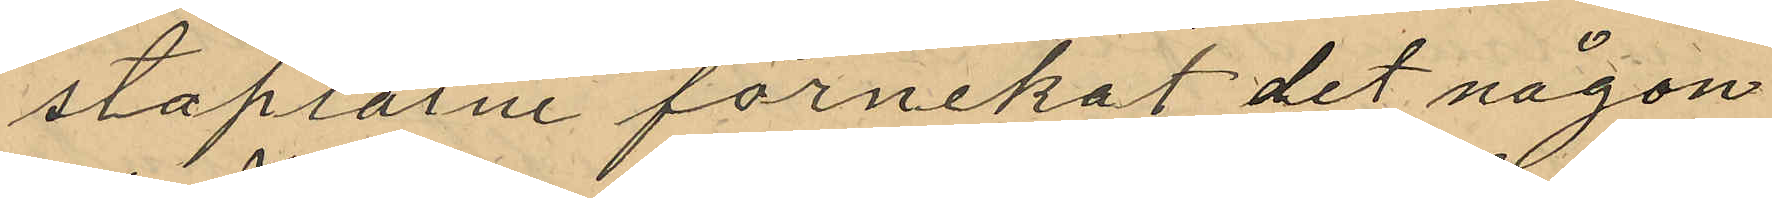staplarne förnekat det någon
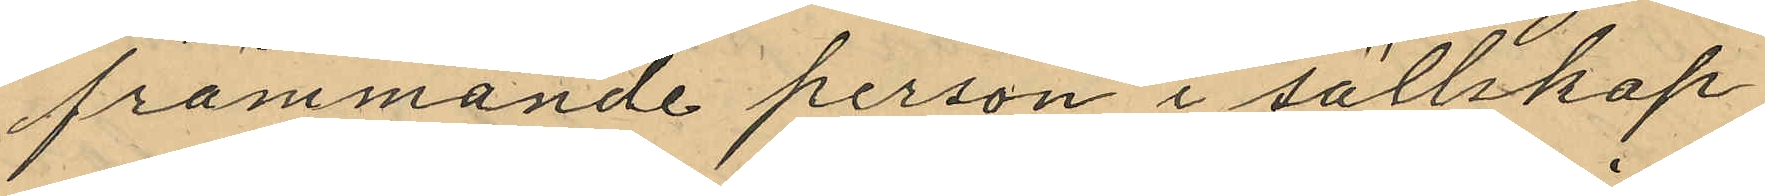främmande person i sällskap
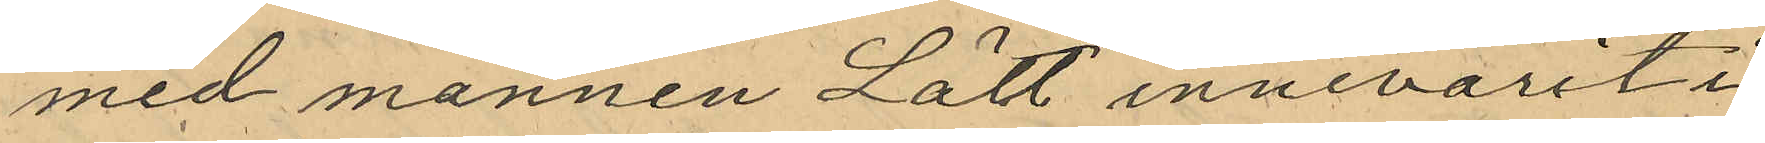med mannen Lätt innevarit i
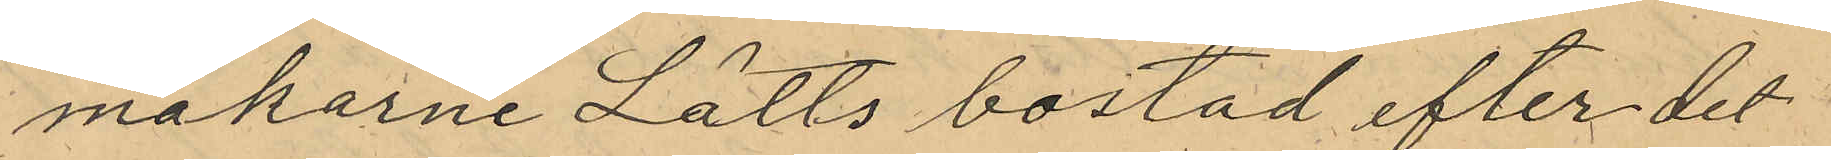makarne Lätts bostad efter det
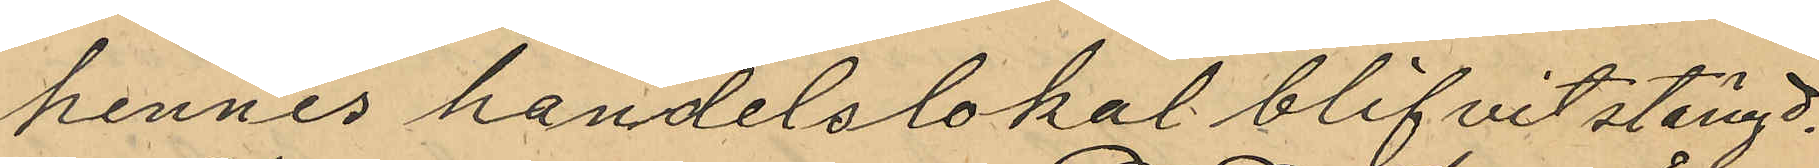hennes handelslokal blifvit stängd.
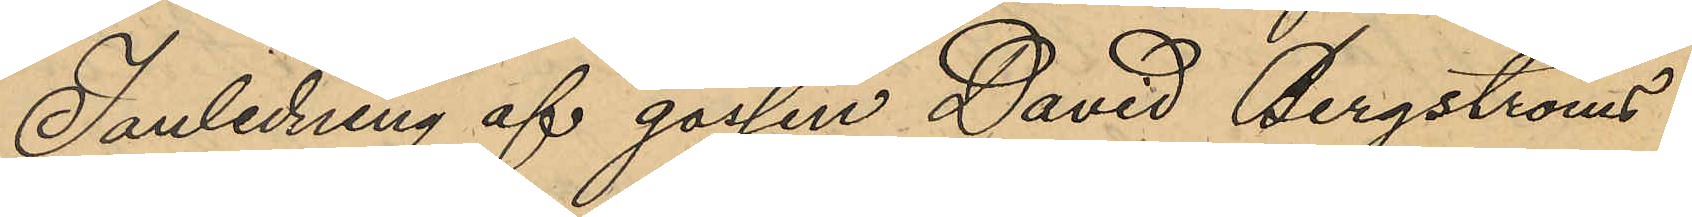I anledning af gossen David Bergströms
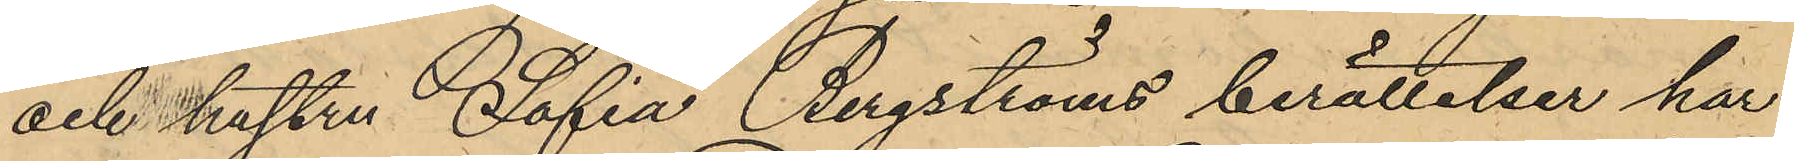och hustru Sofia Bergströms berättelser har
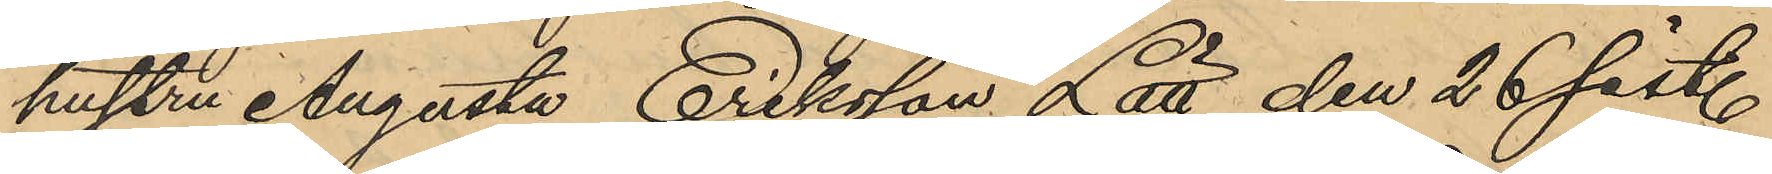hustru Augusta Eriksson Lätt den 26 sist.
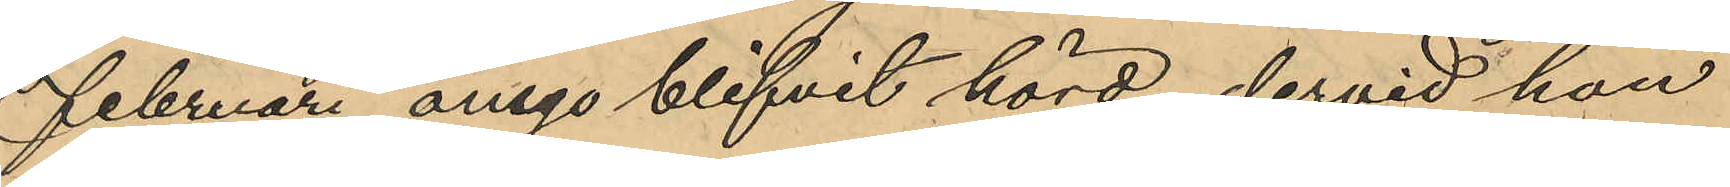Februari ånyo blifvit hörd, dervid hon
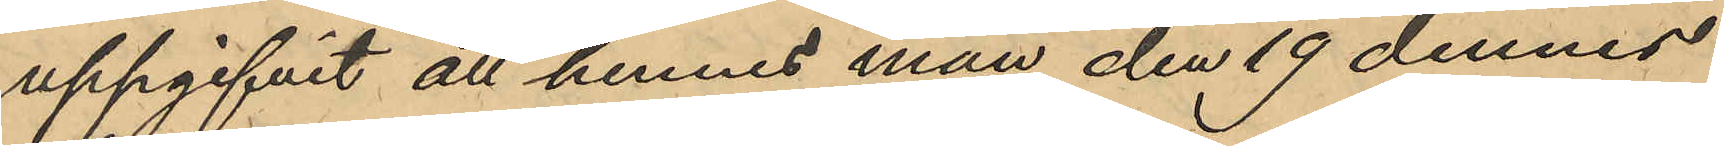uppgifvit att hennes man den 19 dennes
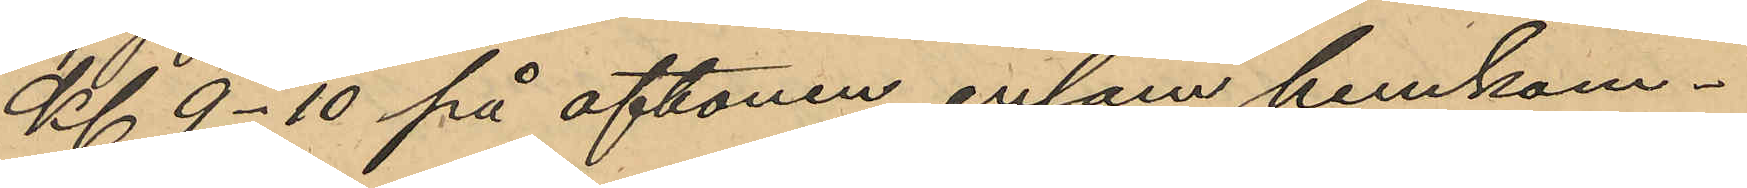Kl. 9-10 på aftonen ensam hemkom¬
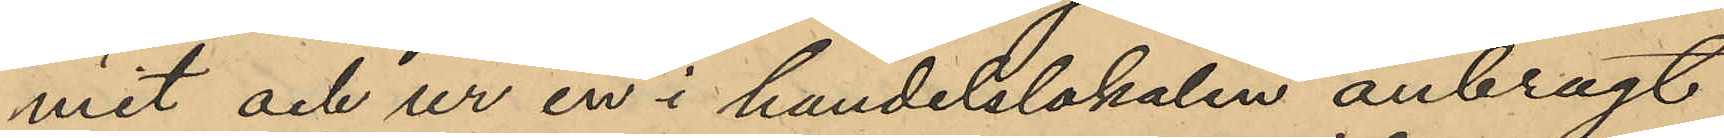mit och ur en i handelslokalen anbragt
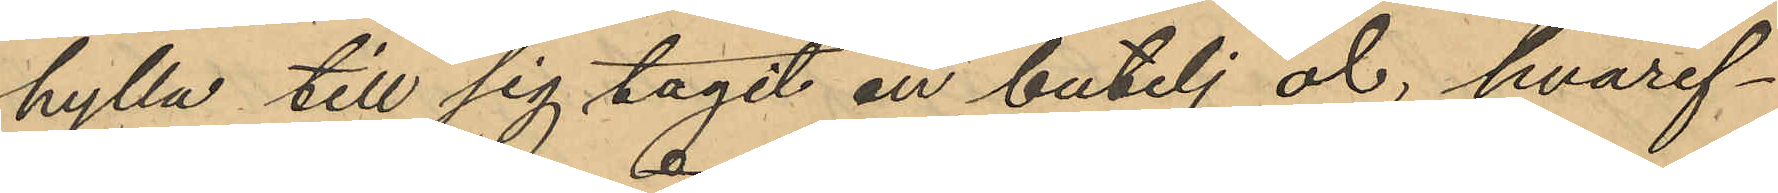hylla till sig tagit en butelj öl, hvaref¬
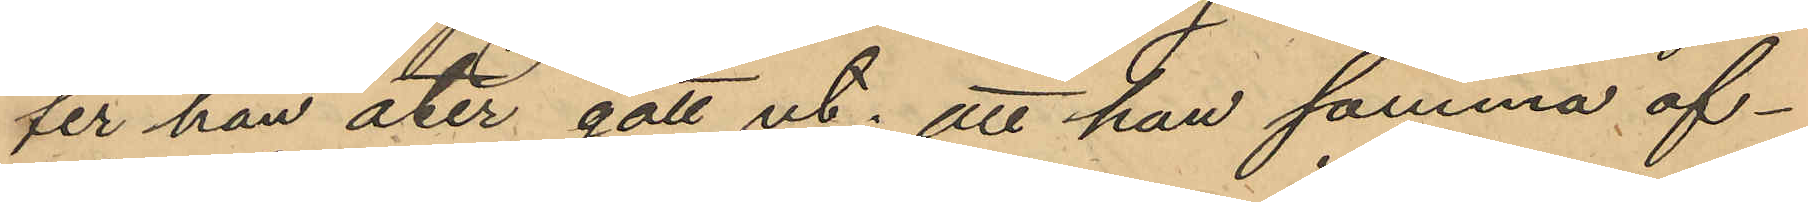ter han åter gått ut; att han samma af¬
